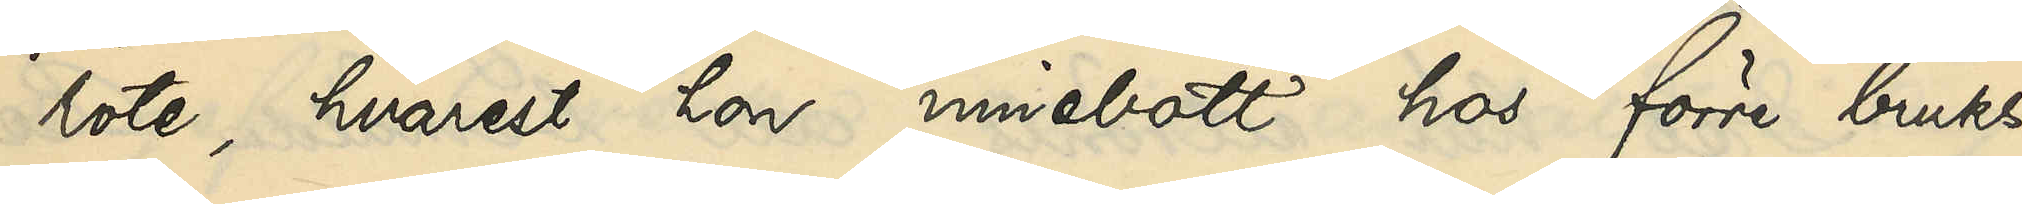rote, hvarest hon innebott hos förre bruks¬
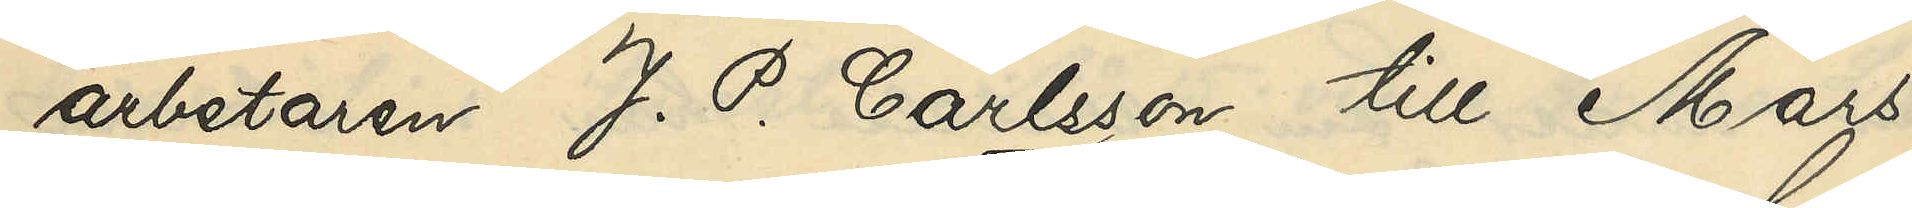arbetaren J. P. Carlsson till Mars
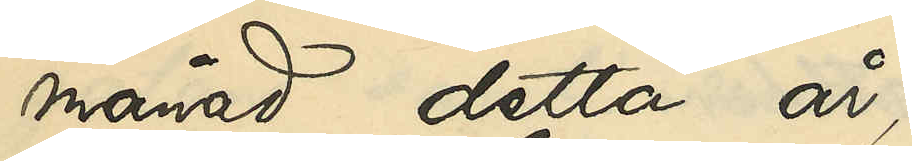månad detta år;
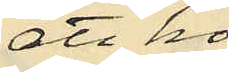att hon
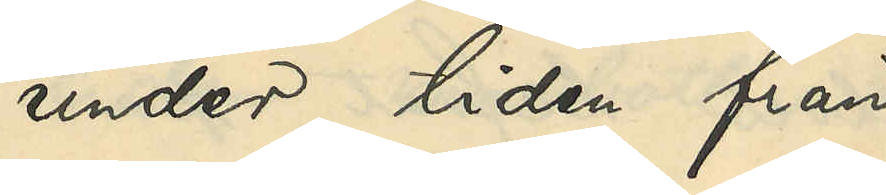under tiden från
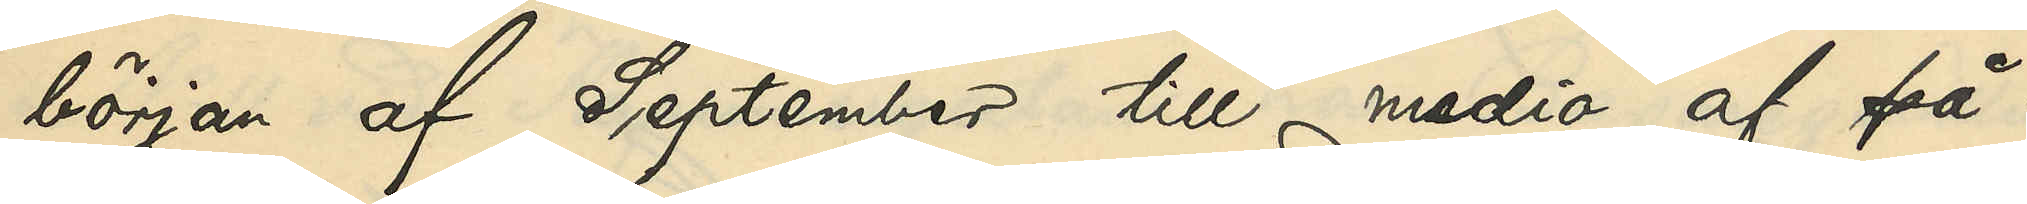början af September månad till medio af på¬
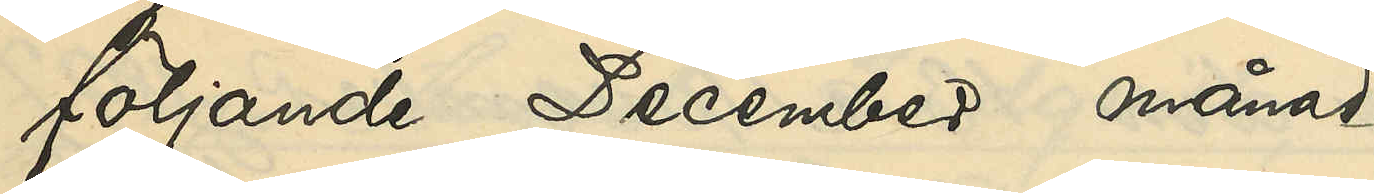följande December månad
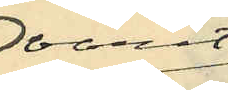varit
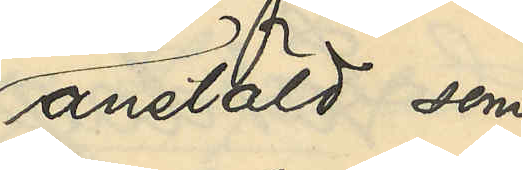anstäld som
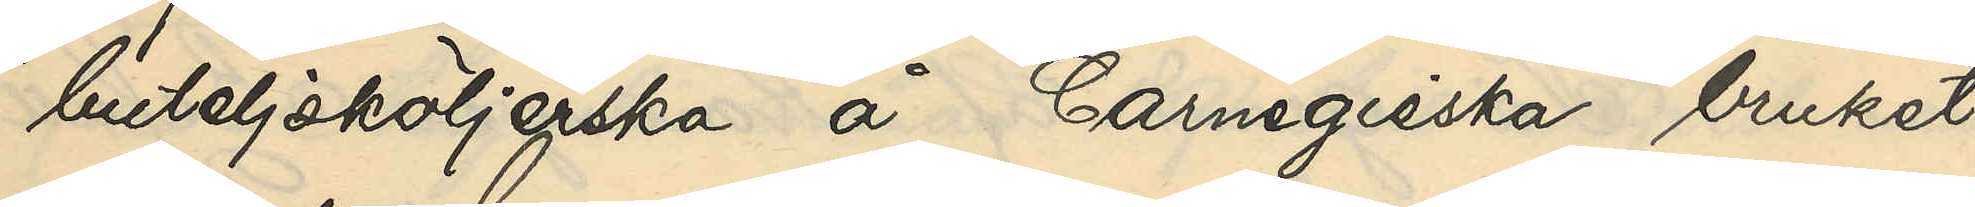buteljsköljerska å Carnegieska bruket,
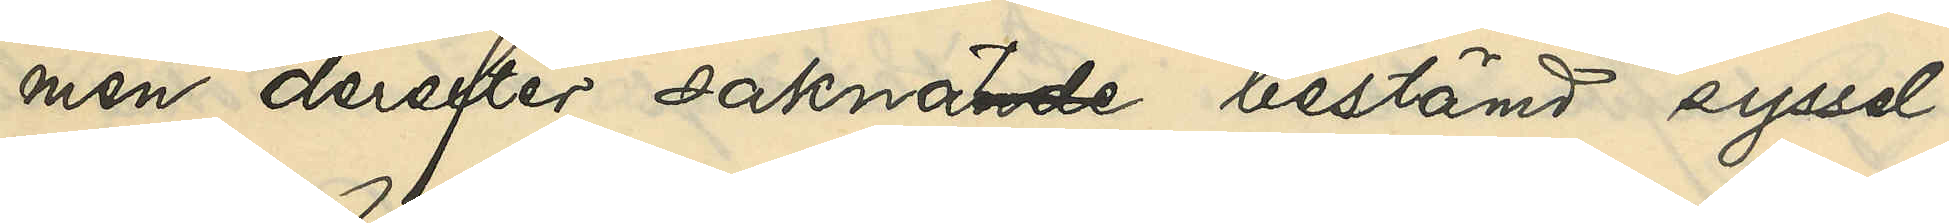men derefter saknat bestämd syssel¬
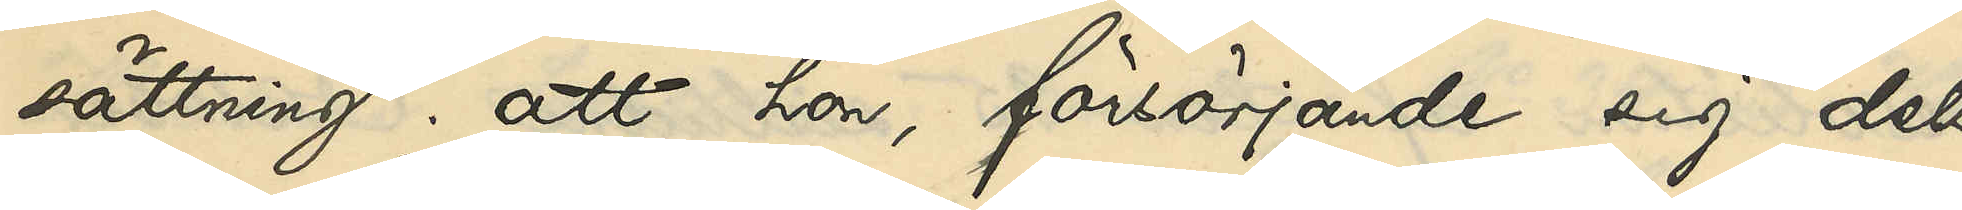sättning; att hon, försörjande sig dels
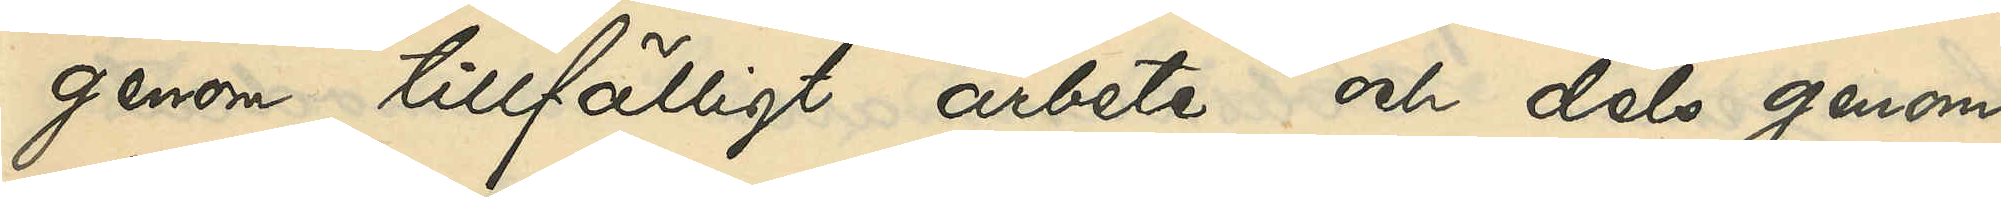genom tillfälligt arbete och dels genom
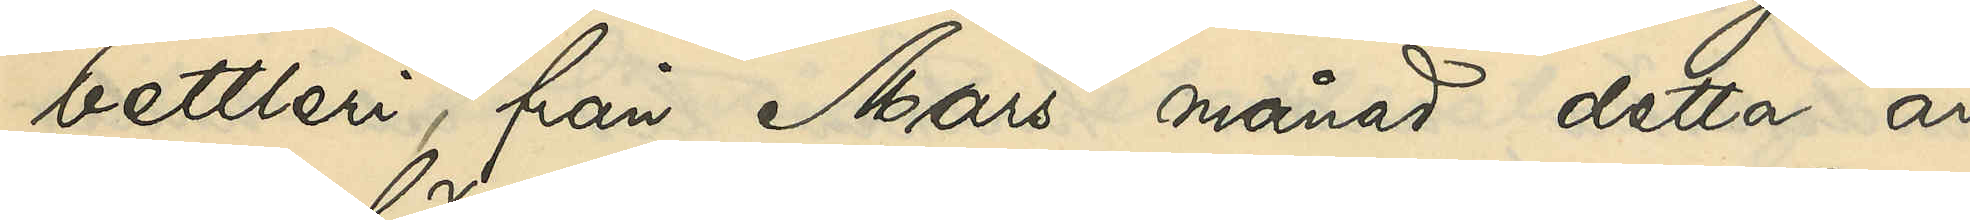bettleri, från Mars månad detta år
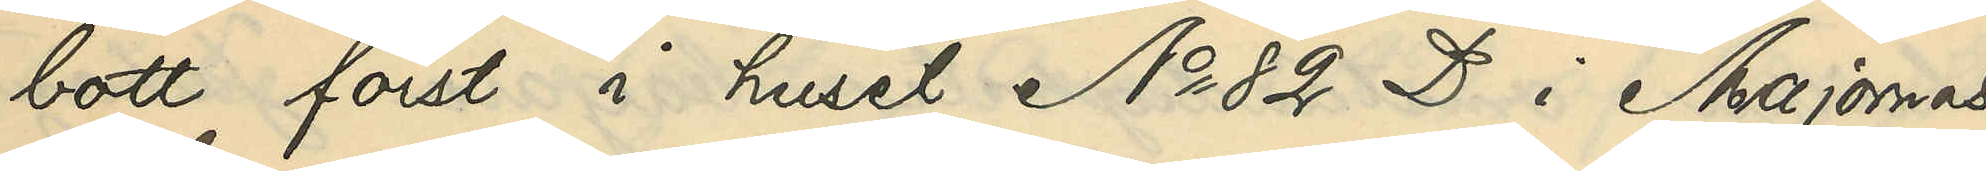bott först i huset No 82 D i Majornas
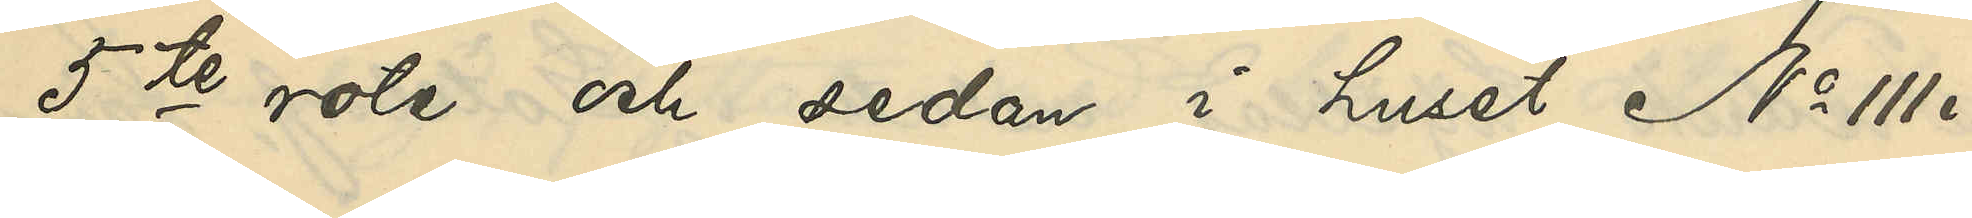5te rote och sedan i huset No 111 i
